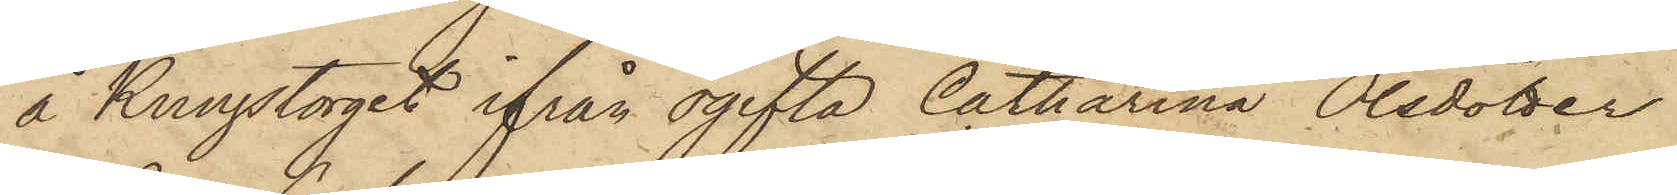å Kungstorget ifrån ogifta Catharina Olsdotter
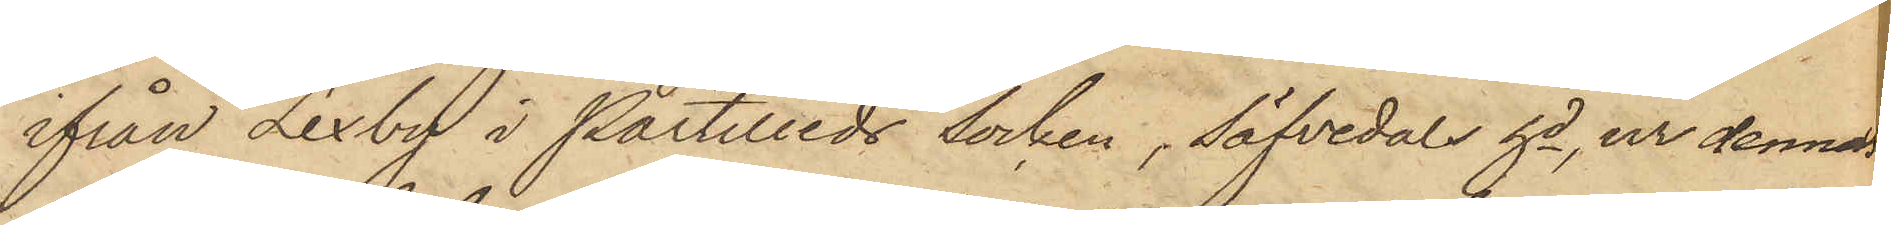ifrån Lexby i Partilleds socken, Säfvedals hd, ur dennas
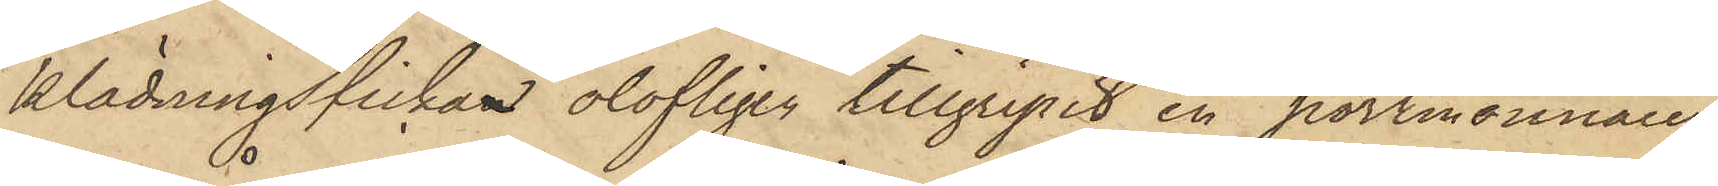klädningsfickan olofligen tillgripit en portmonnaie,
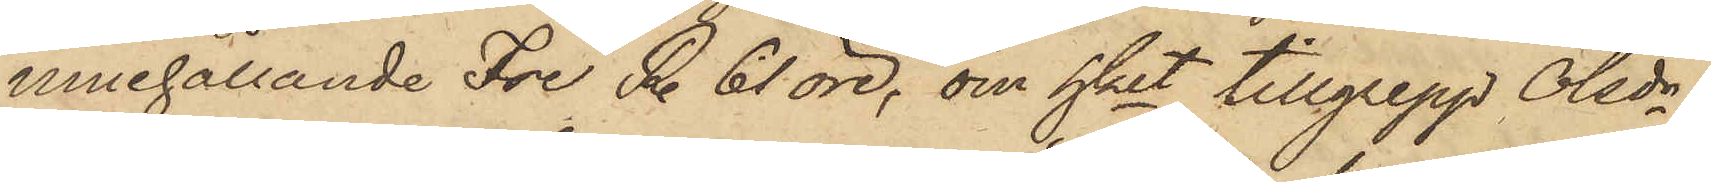innehållande Tre R. 61 öre, om hket tillgrepp Olsdr
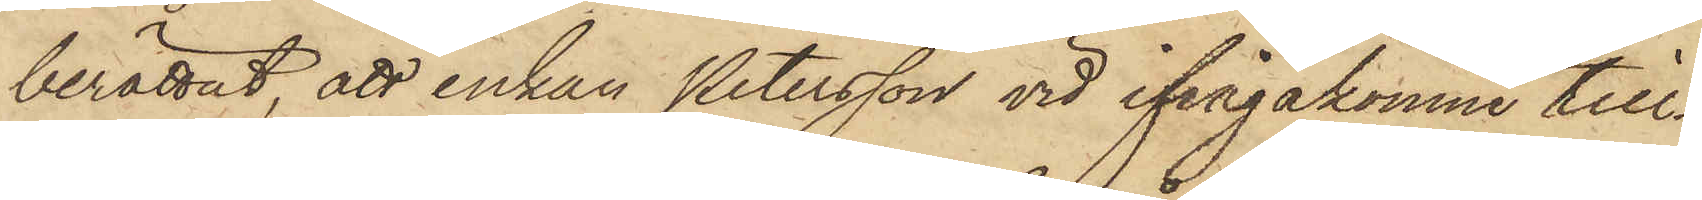berättat, att enkan Petersson vid ifrågakomne till¬
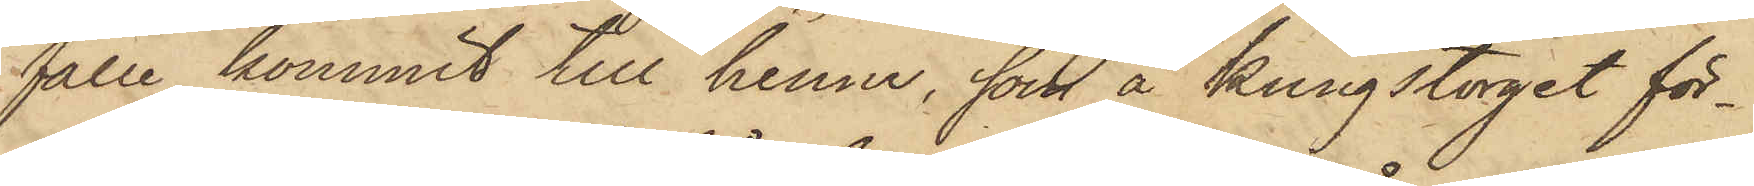fälle kommit till henne, som å Kungstorget för¬
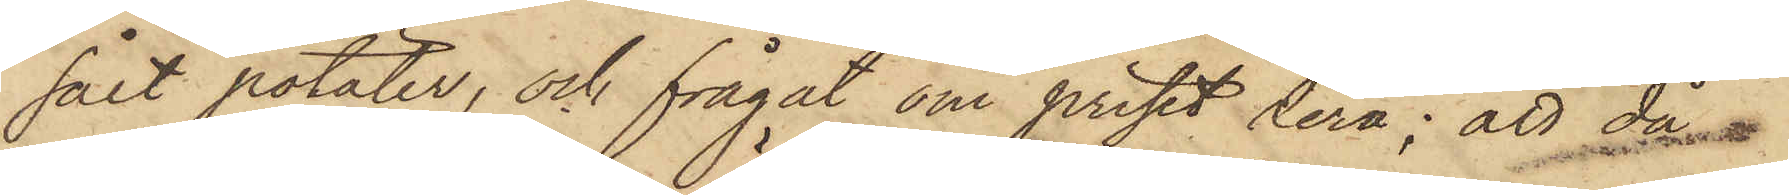sålt potäter, och frågat om priset derå; att då
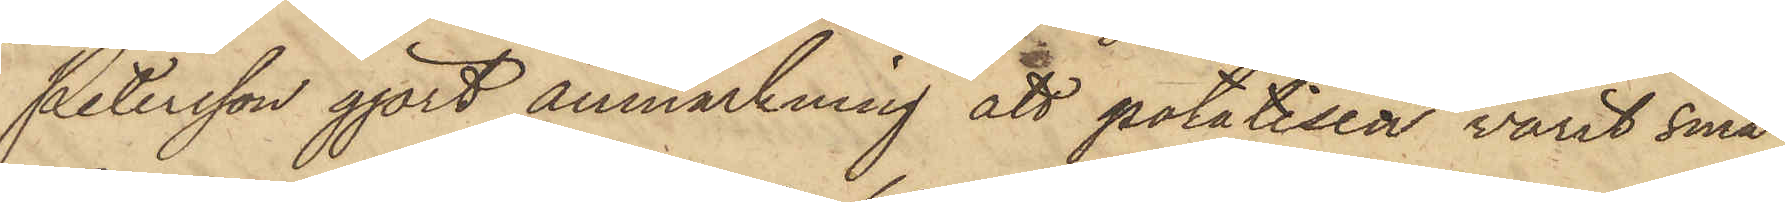Petersson gjort anmärkning att potatisen varit små,
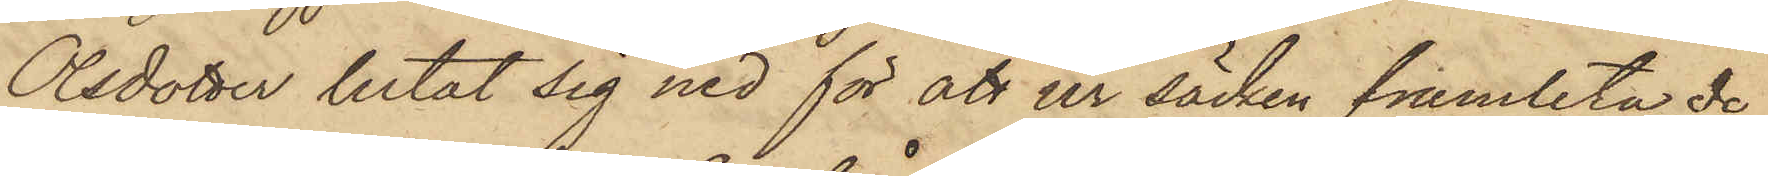Olsdotter letat sig ned för att ur säcken framleta de
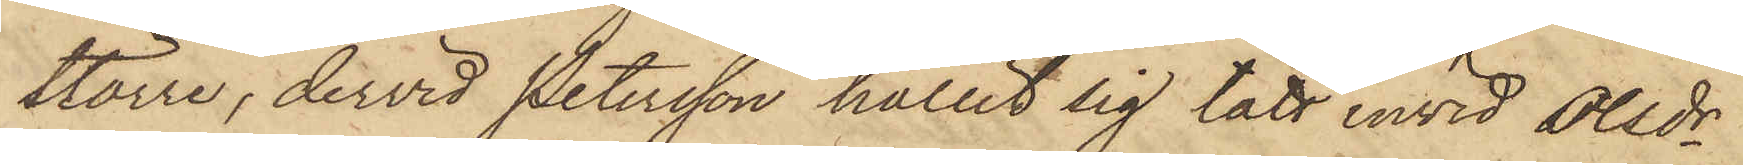större, dervid Petersson hållit sig tätt invid Olsdr
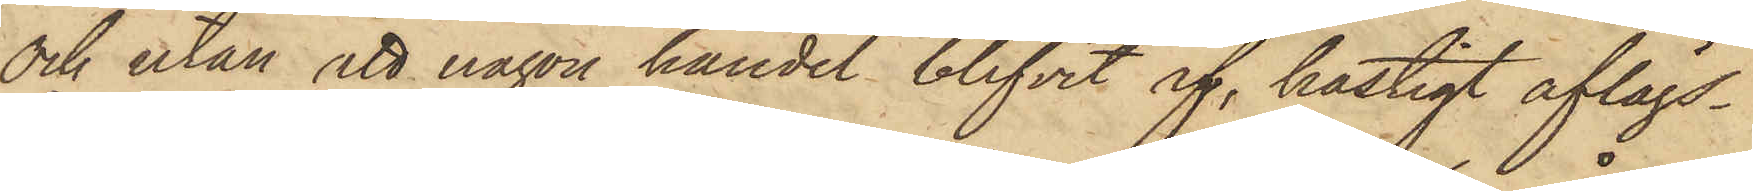och utan att någon handel blifvit af, hastigt aflägs¬
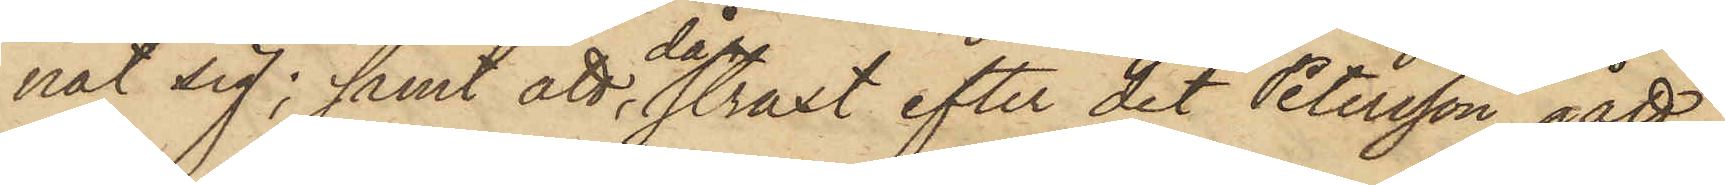nat sig; samt att, då straxt efter det Petersson gått,
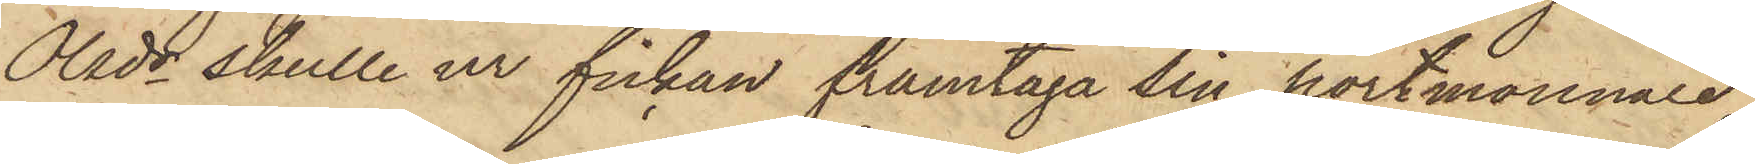Olsdr skulle ur fickan framtaga sin portmonnaie,
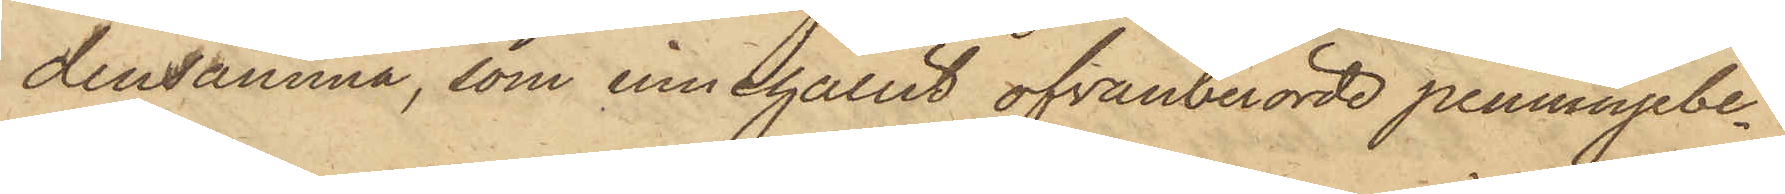densamma, som innehållit ofvanberörde penningebe¬
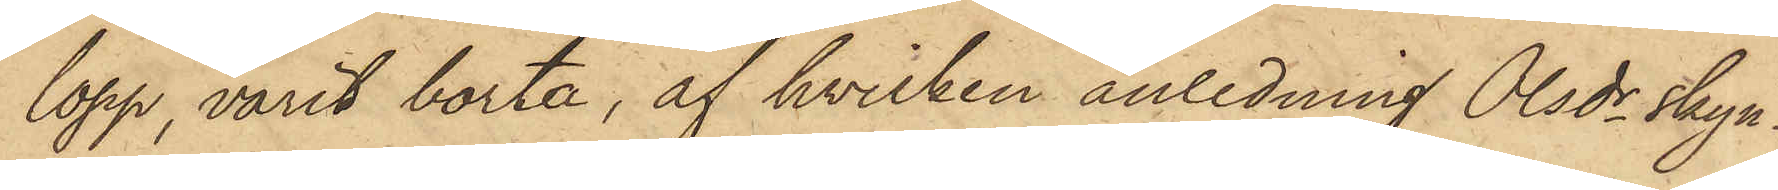lopp, varit borta, af hvilken anledning Olsdr skyn¬
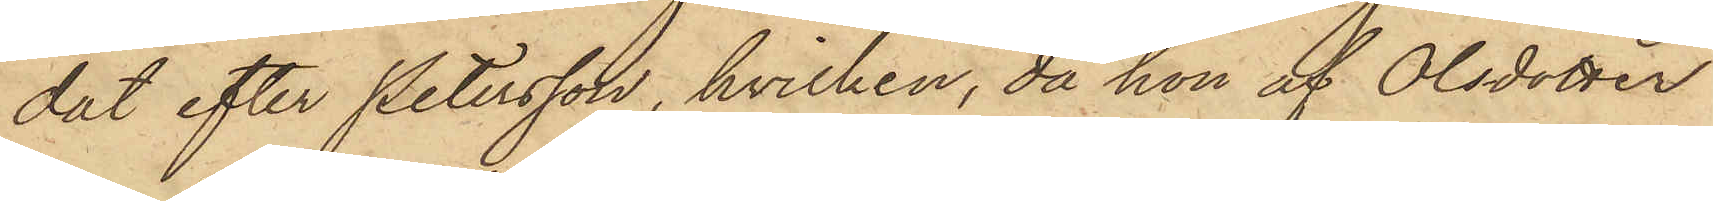dat efter Petersson, hvilken, då hon af Olsdotter
